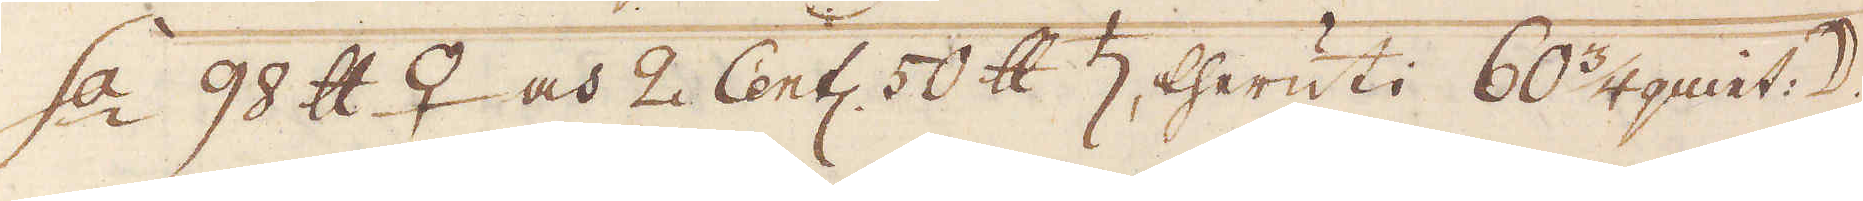s:a 90 skålpund ♀ och 2 Cent: 50 skålpund ♄ theruti 60 3/4 quint: ☽.
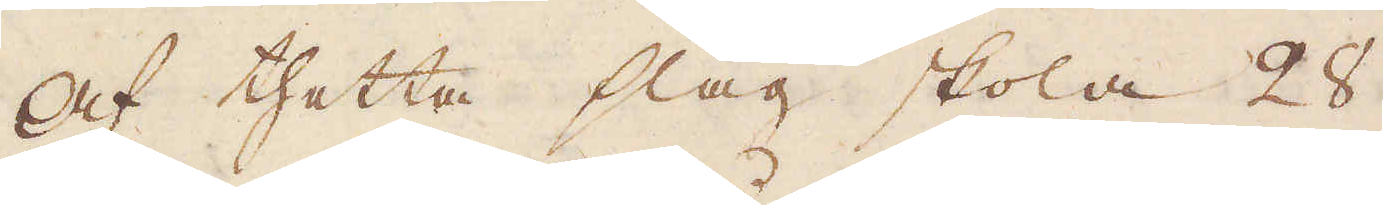Af thetta slag skola 28
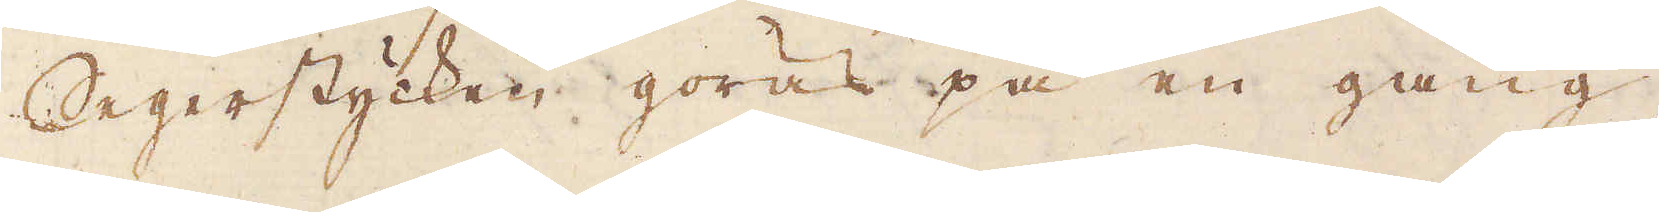Segerstycken göras på en gång,
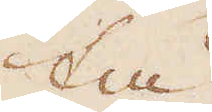tå
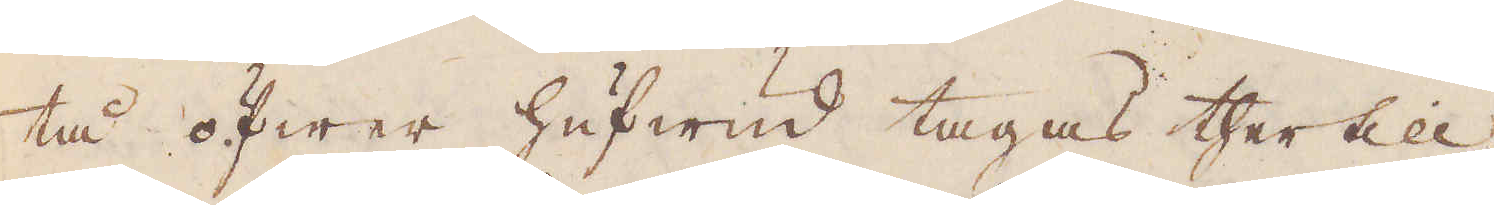tå öfwer hufwud tages thertill
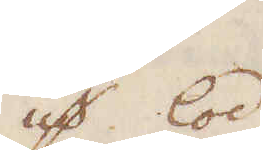qv:r lod
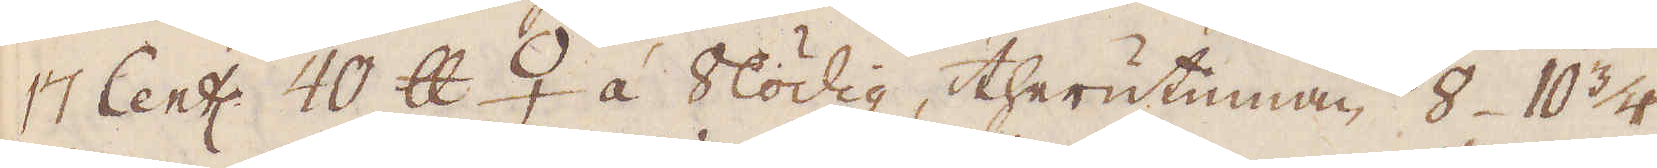17 Cent:r 40 skålpund ♀ á 8lödig, therutinnan 8 10 3/4
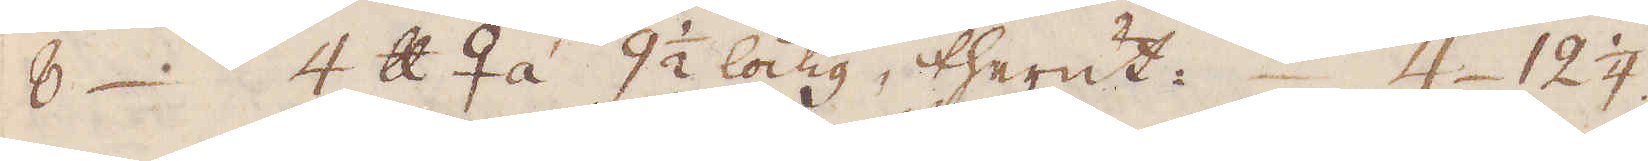8. 4 skålpund ♀ á 9 1/2 lödig, therut. 4 12 1/4.
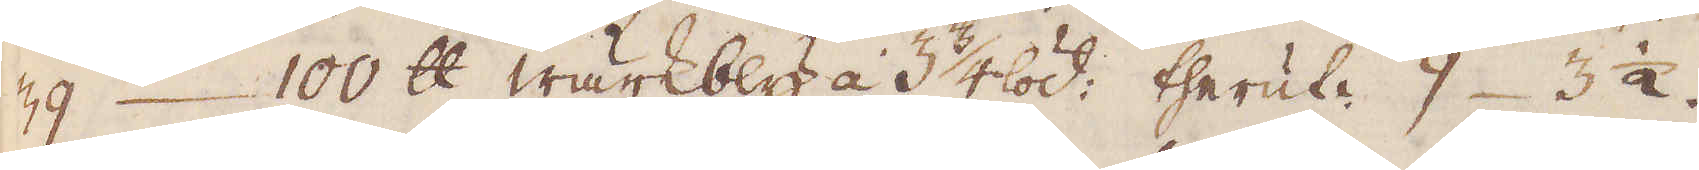39. 100 skålpund wärkbly a 3 3/4 löd, theruti 9 3 1/2
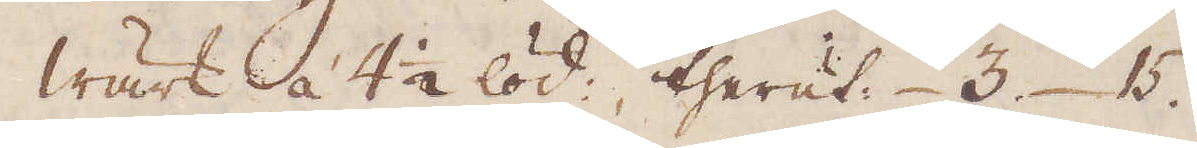wärk á 4 1/2 löd, theruti 3. 15.
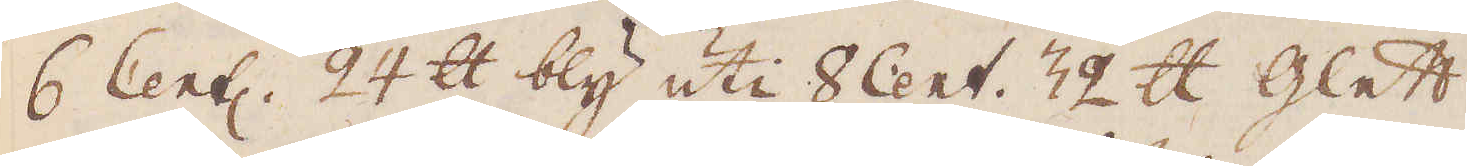6 Cent 24 skålpund bly uti 8 Cent. 32 skålpund Glett
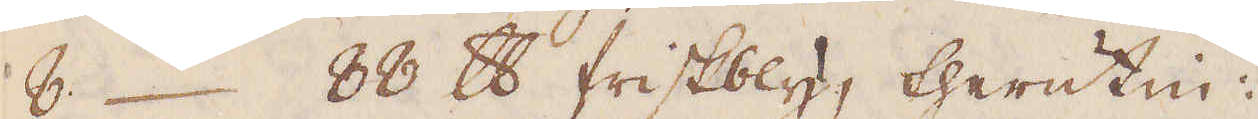8. 88 skålpund friskbly, therutin:
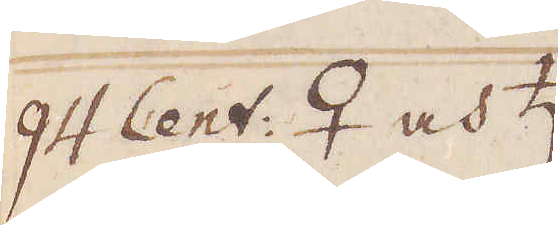94 Cent. ♀ och ♄
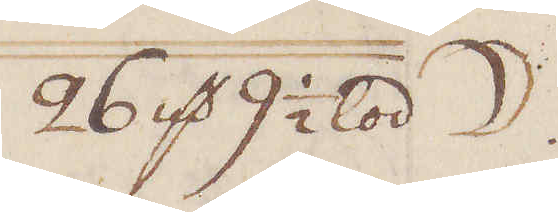26 qv:r 9 1/2 lod ☽
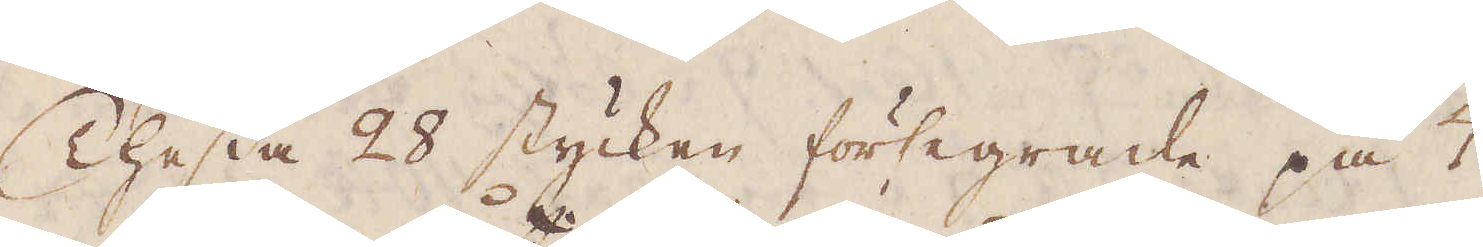Thessa 28 stycken försegrade på 7
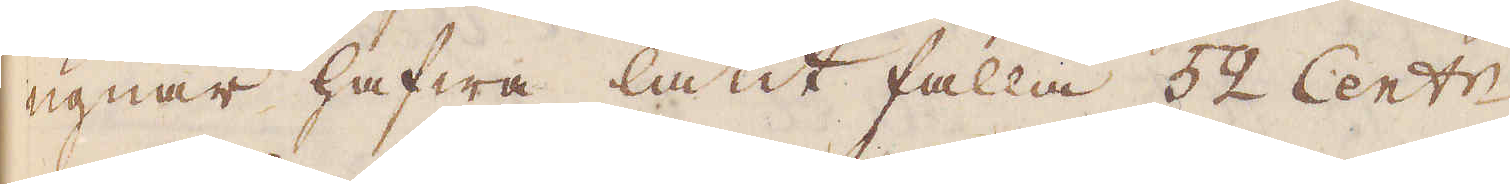ugnar hafwa låtit falla 52 Cent:r.
